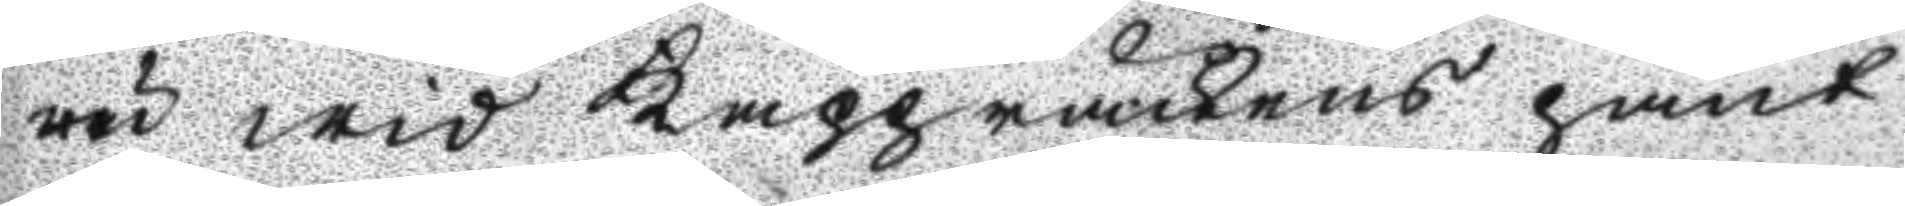ru wid Kappråckens pant
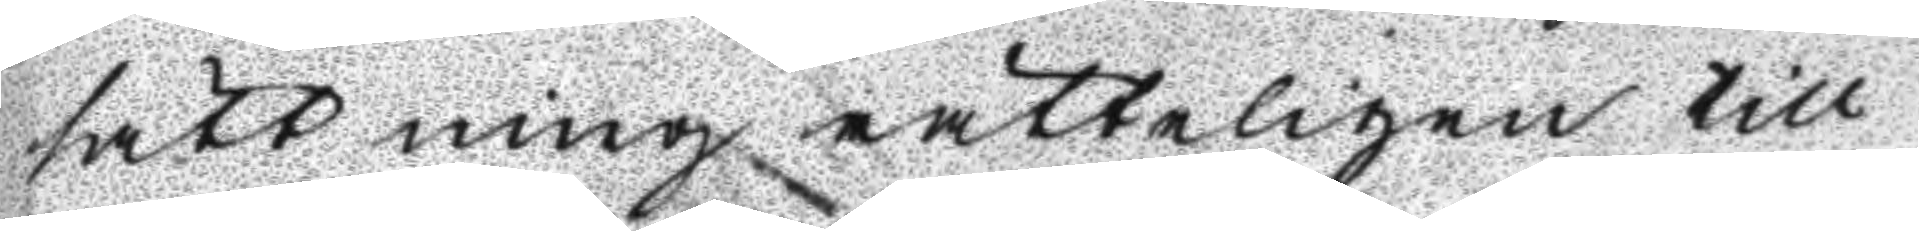sättning rätteligen till
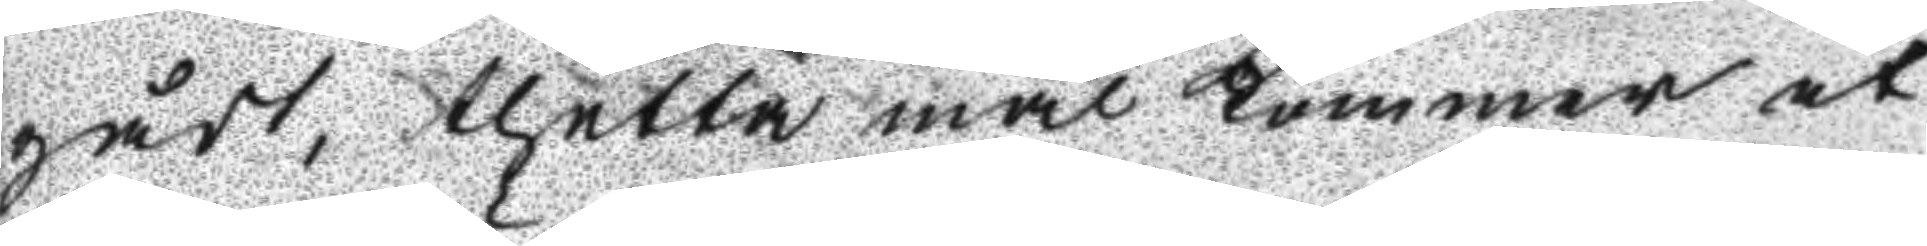gådt, thetta mål kommer at
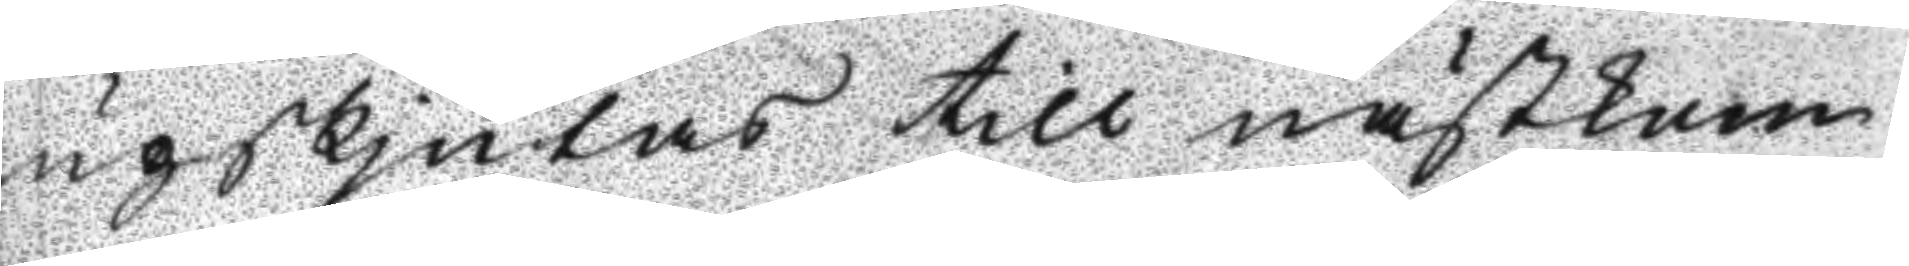upskjutas till nästkom
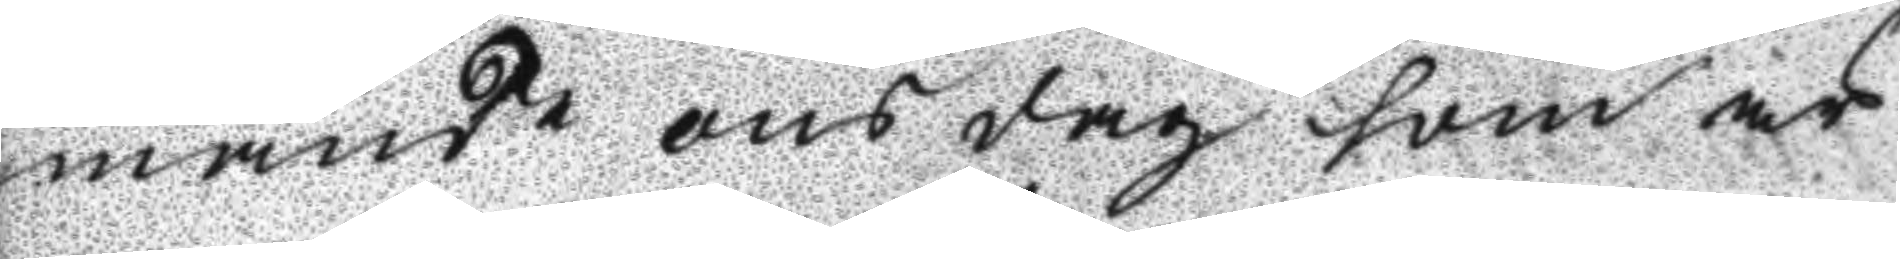mande onsdag som är
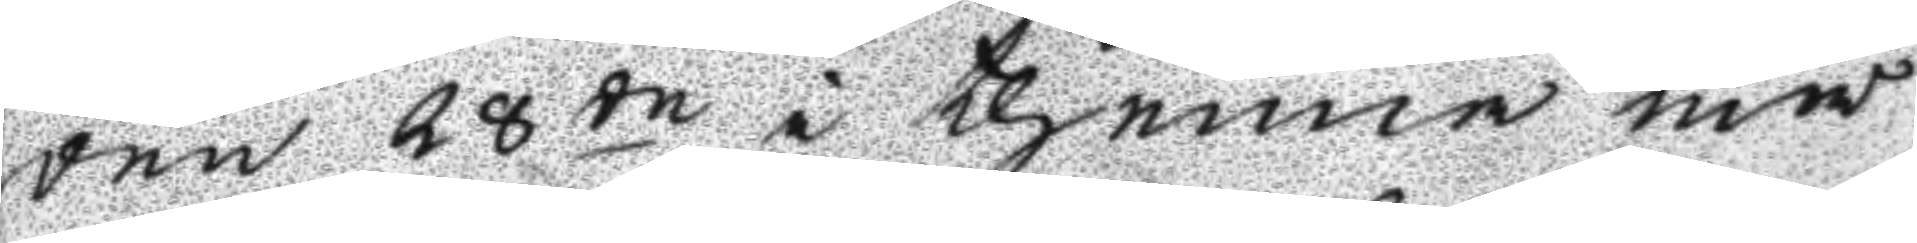den 28de i thenna må
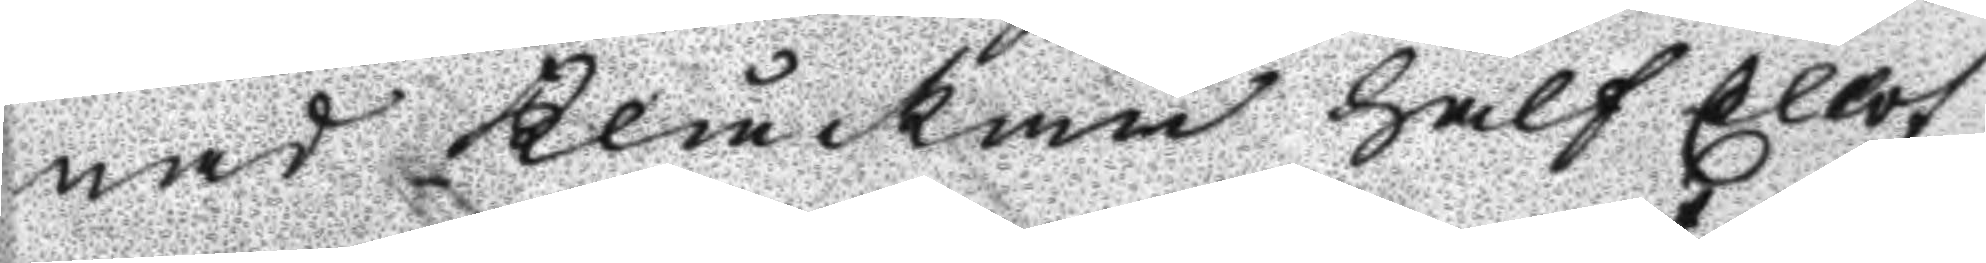nad Klåckan half Ellof
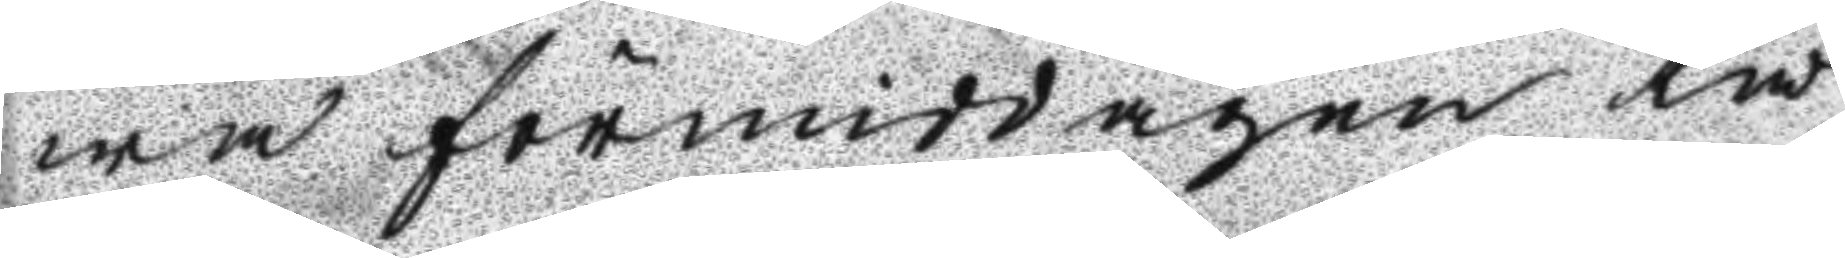wa förmiddagen tå
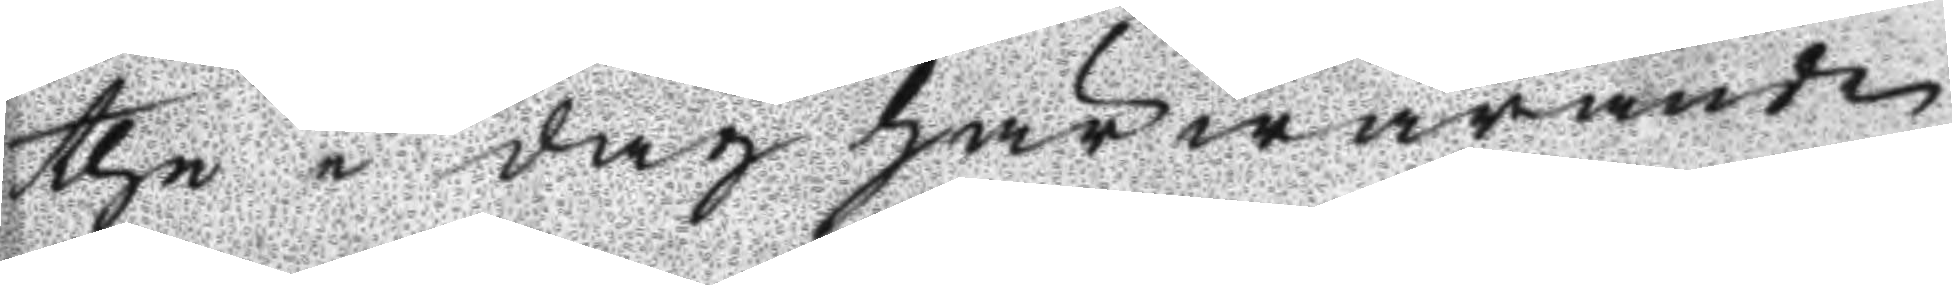the i dag härwarande
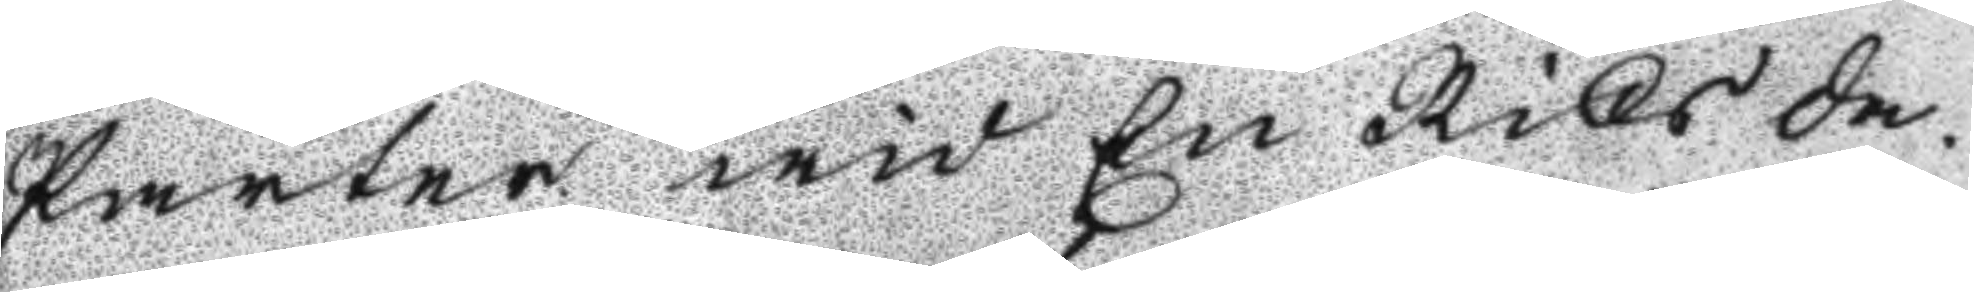Parter wid En Riks da¬
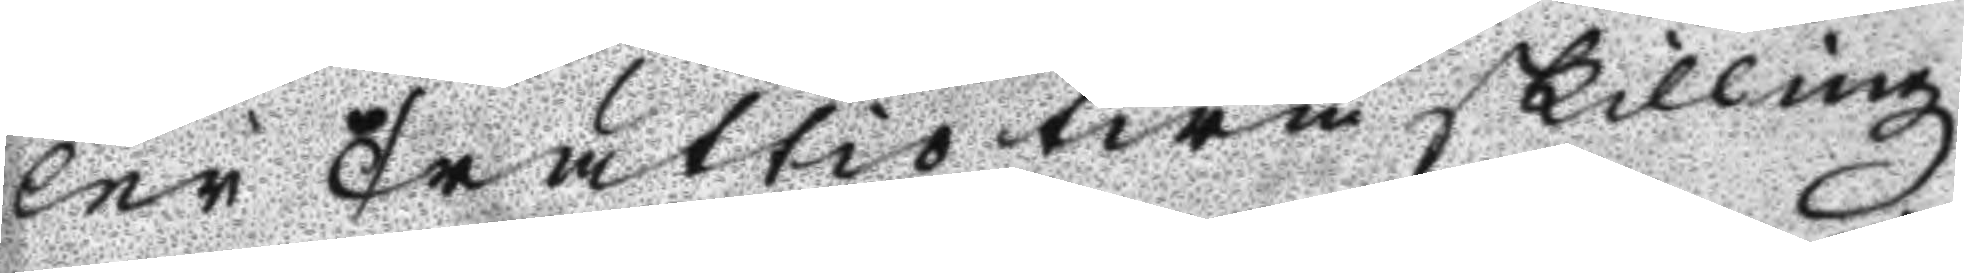ler Trättiotwå skilling
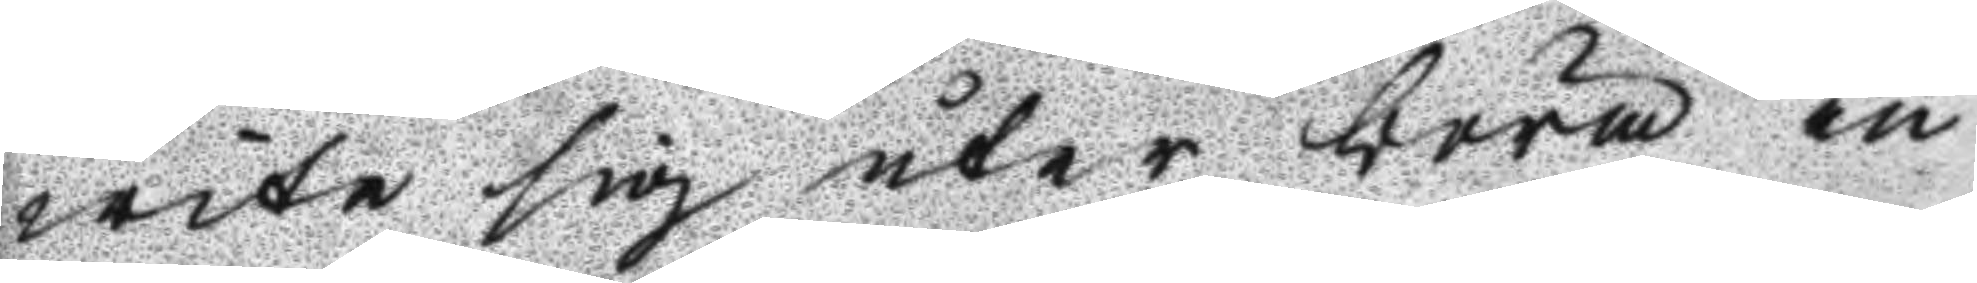wite sig åter böra in
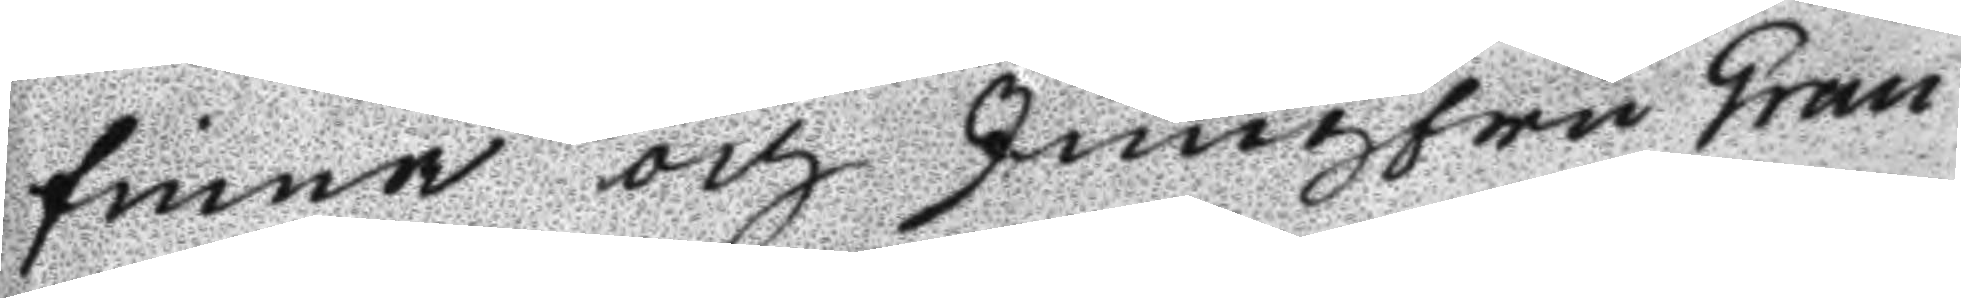finna och Jungfru Gran
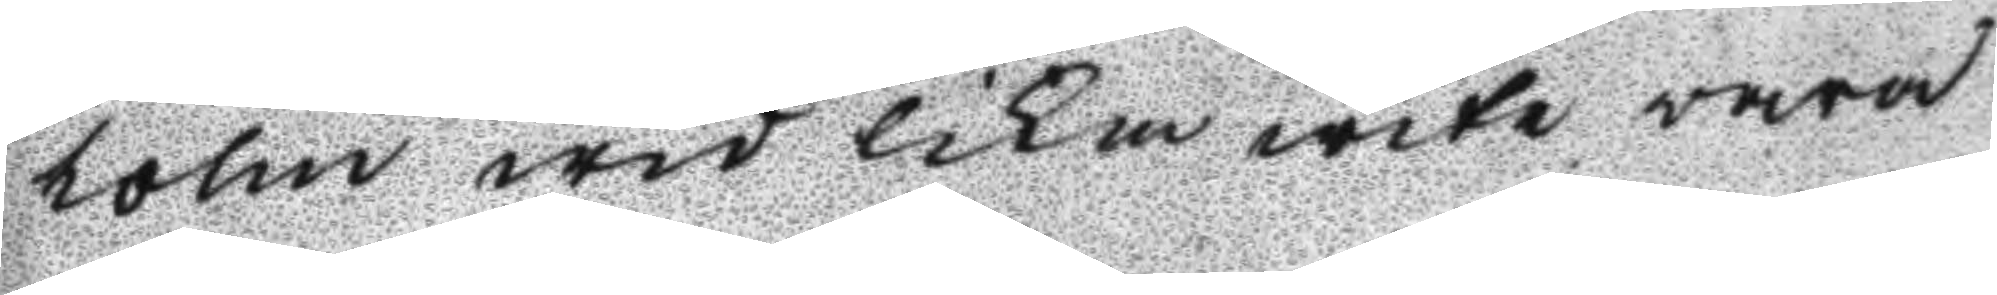holm wid lika wite wara
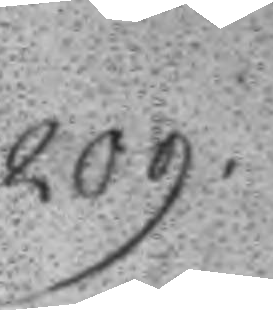209.
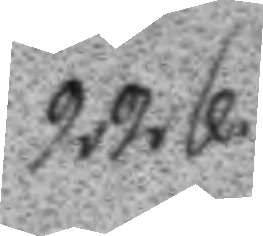226.
